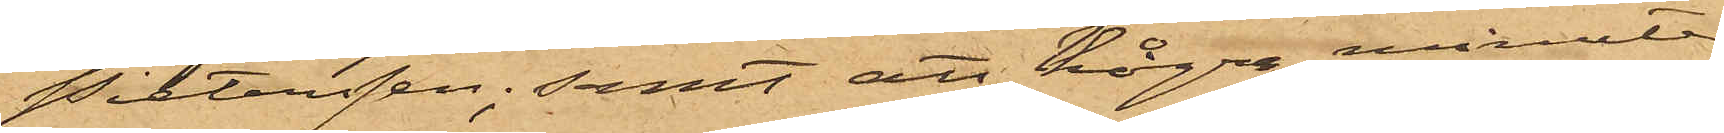Pietersen; samt att några minuter
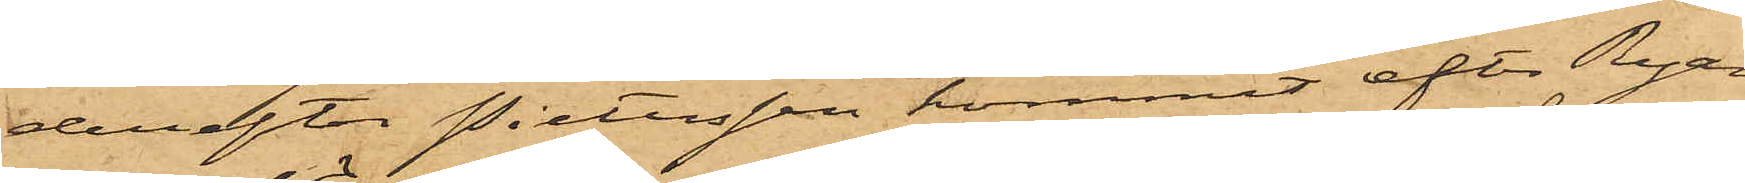derefter Pietersen kommit efter Ryan
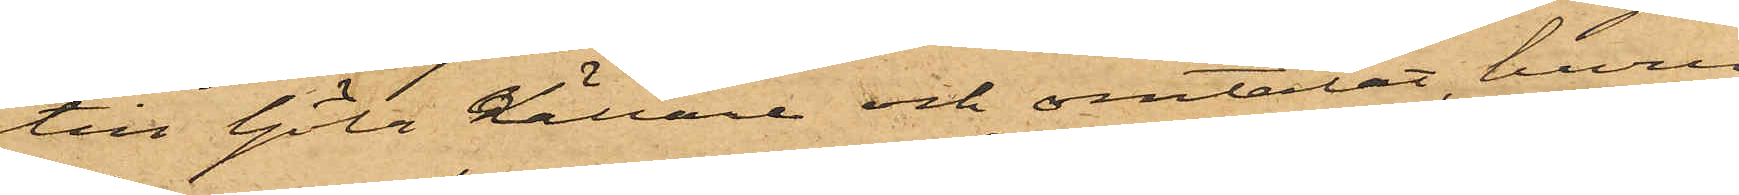till Göta Källare och omtalat, huru
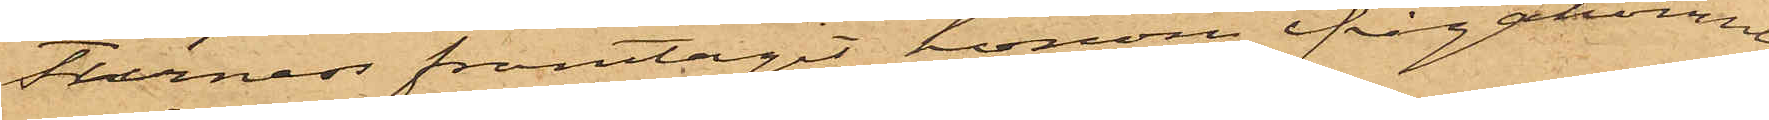Furness fråntagit honom ifrågakomne
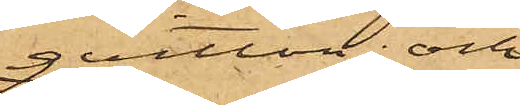qvitton; och
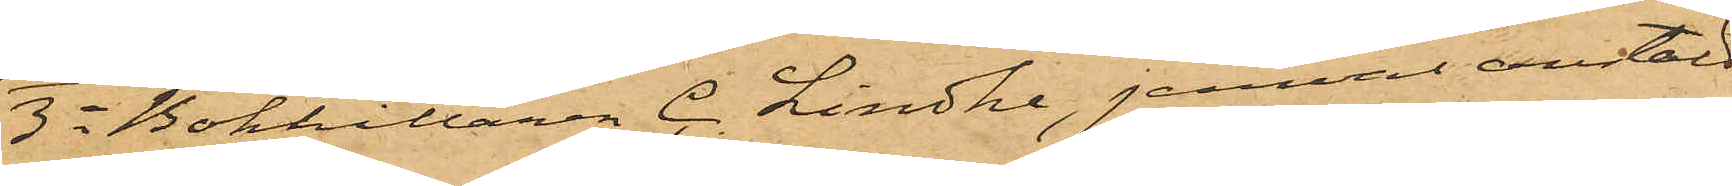3o Bokhållaren C. Lindhe, jemväl anstäld
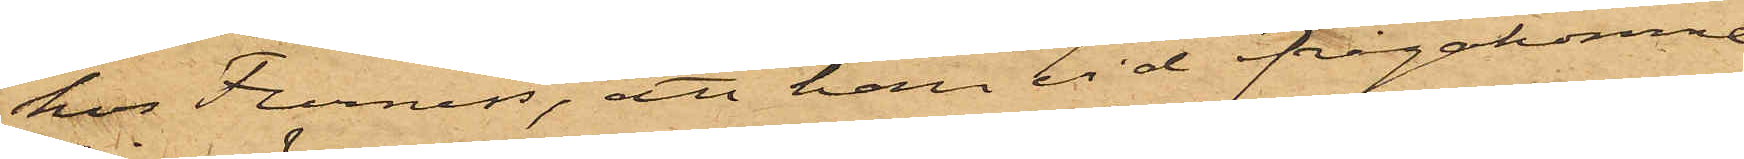hos Furness, att han vid ifrågakomne
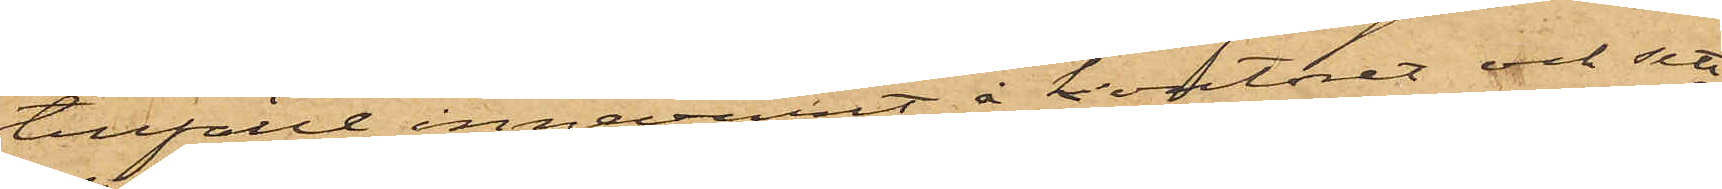tillfälle innevarit å kontoret och sett
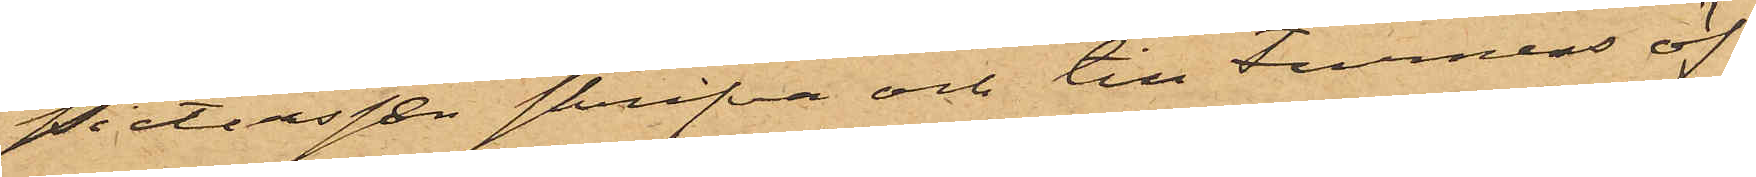Pietersen skrifva och till Furness öf¬
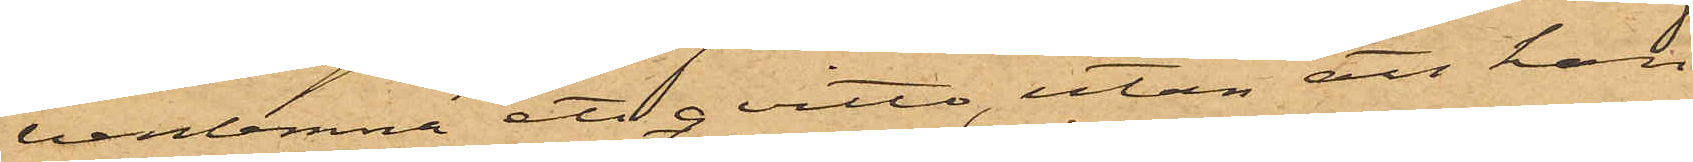verlemna ett qvitto, utan att han
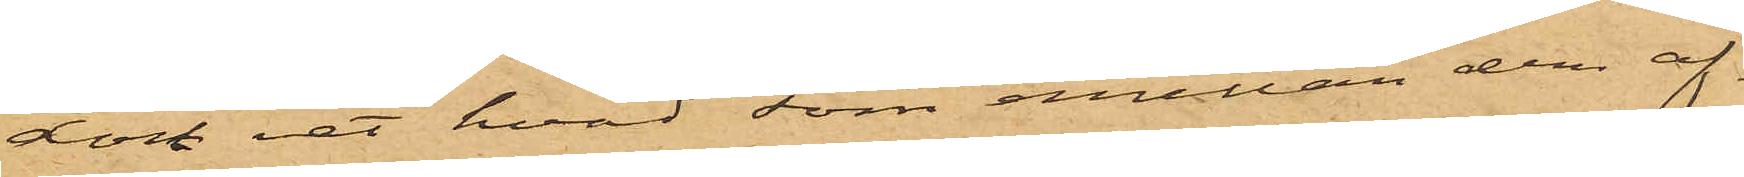dock vet hvad som emellan dem af¬
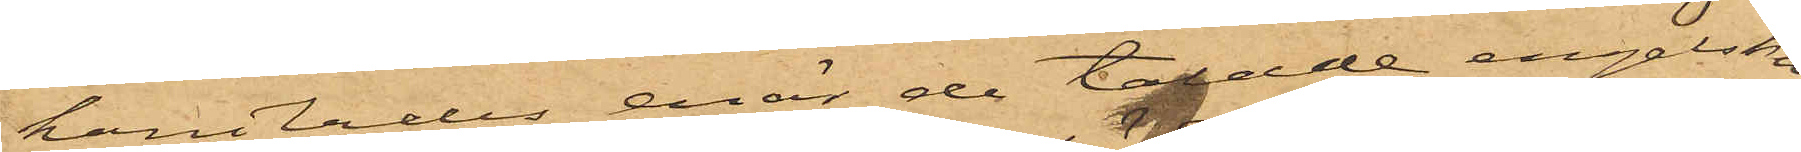handlades, enär de talade engelska,
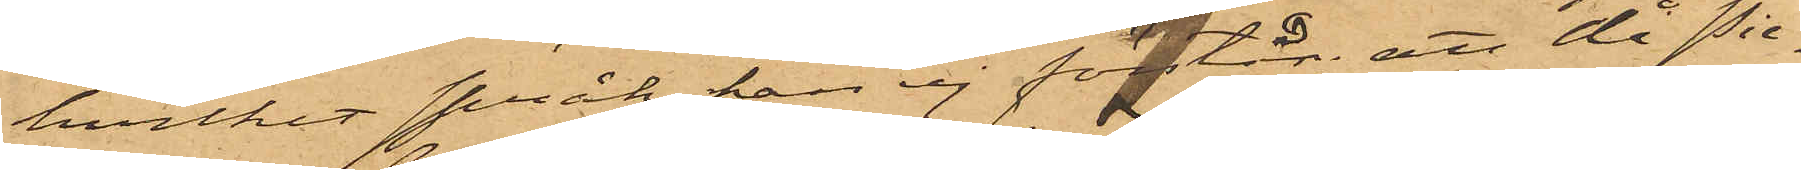hvilket språk han ej förstår; att då Pie¬
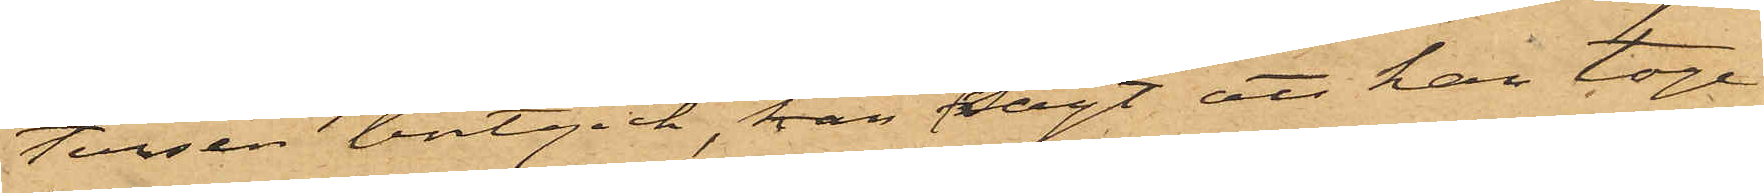tersen bortgick, han sagt att han toge
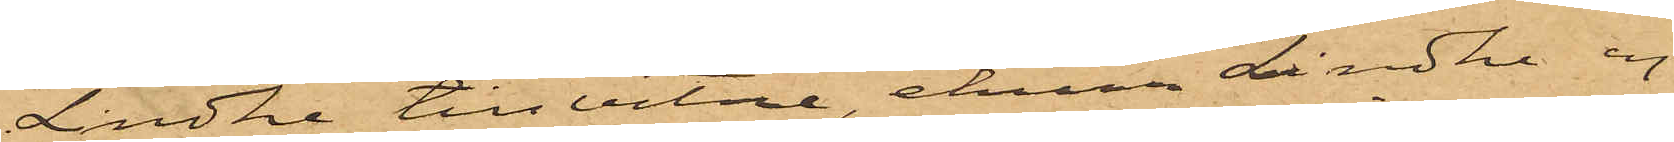Lindhe till vitne, ehuru Lindhe ej
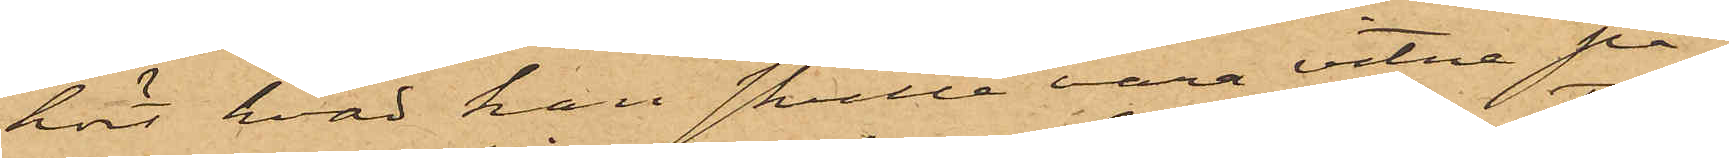hört hvad han skulle vara vitne på;
